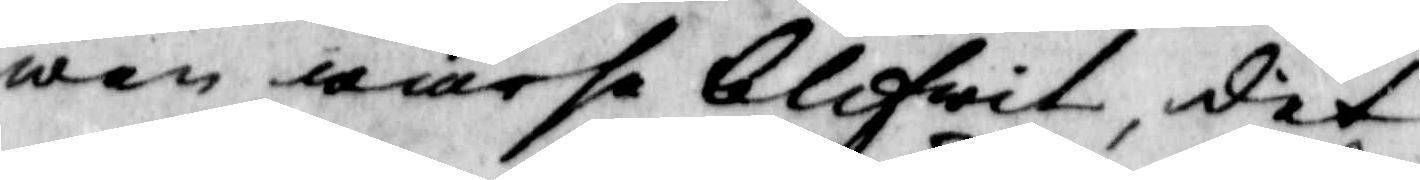wen warse blifwit, det
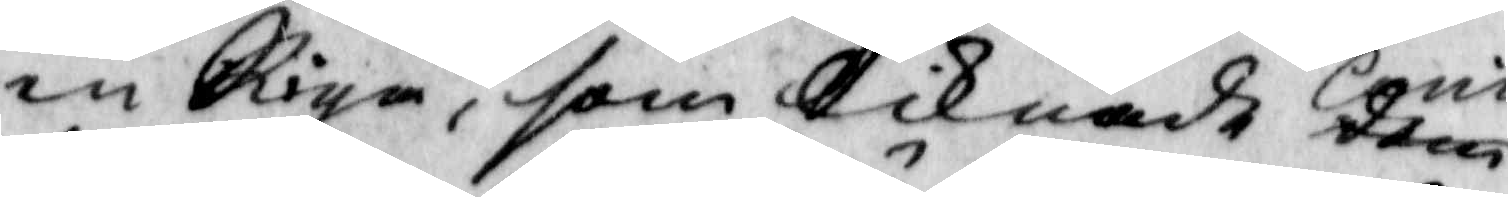en Piga, som licknade dem Carin
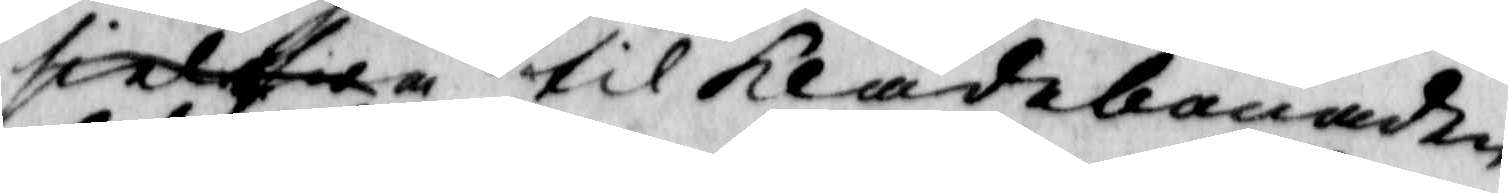sielwa til klädebonaden,
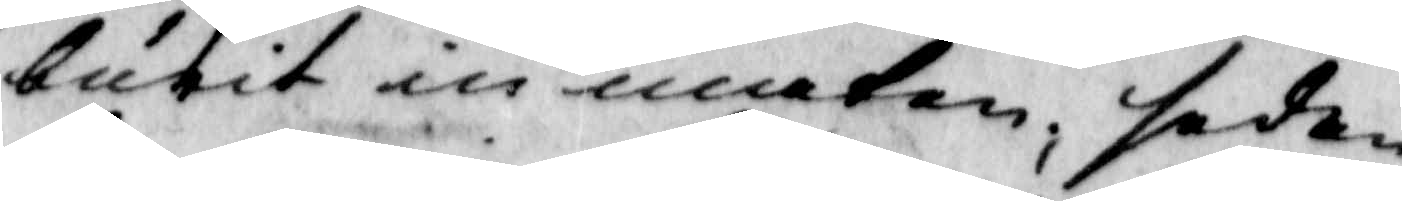burit in maten, sedan
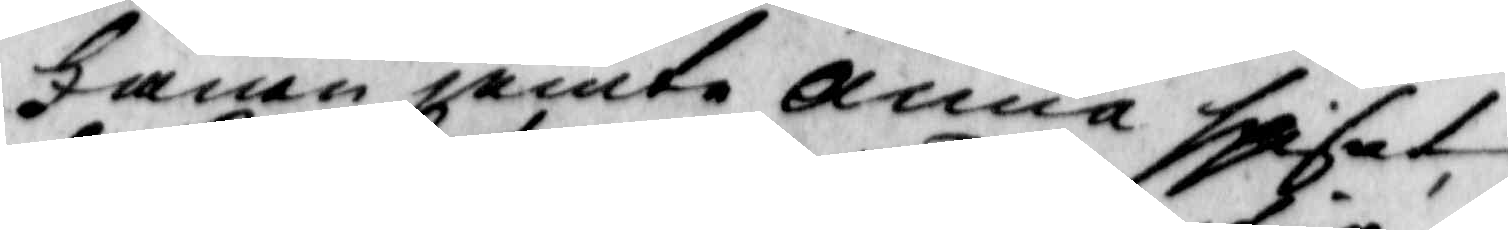Fanen jemte Anna spisat
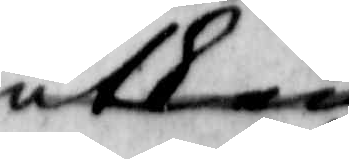utkom 
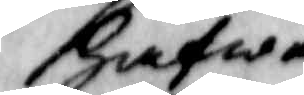hafwa
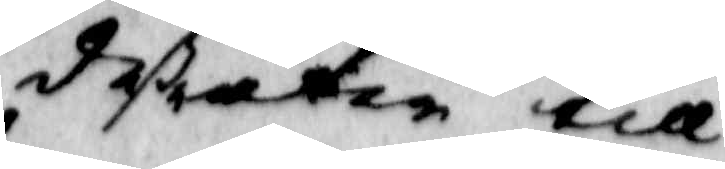deßutan till
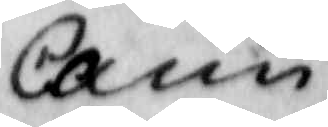carin 
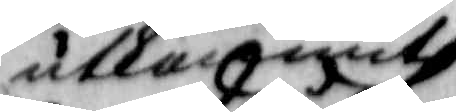utkommit
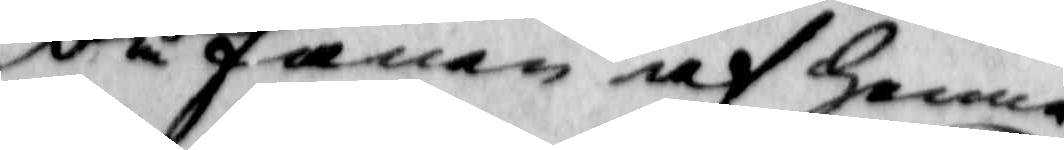då fanen af henne
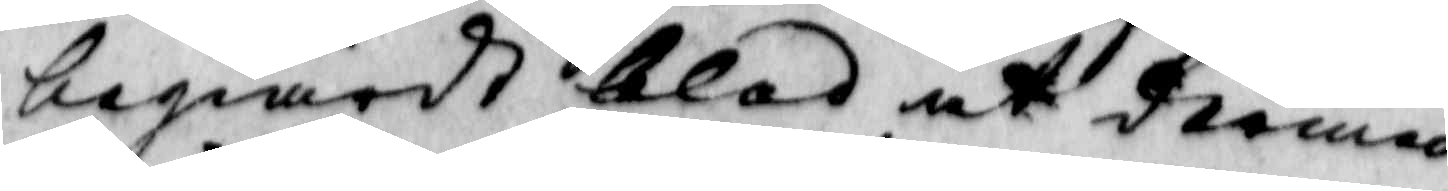begiärdt blod at dermed
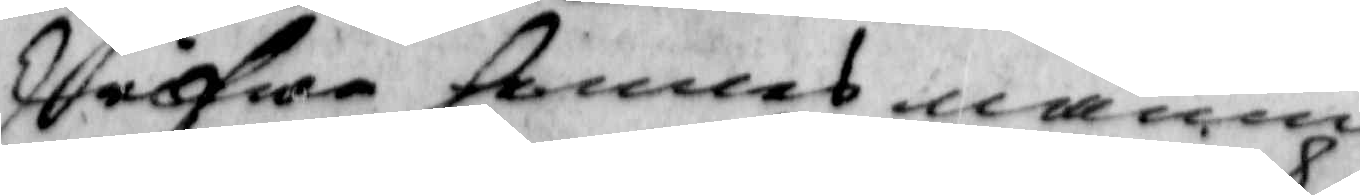skrifwa hennen namn
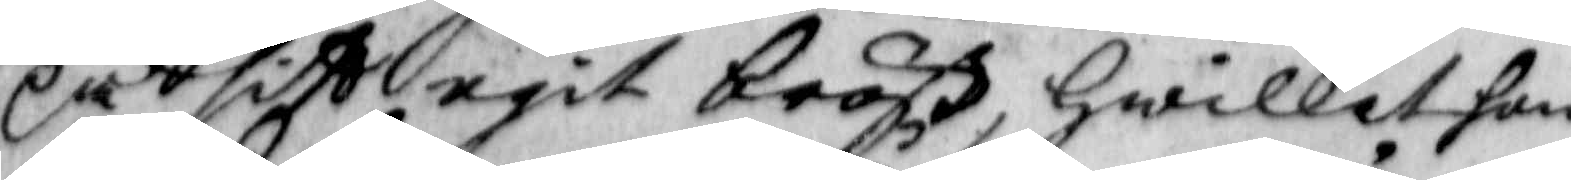på sitt egit bröst, hwilket hon
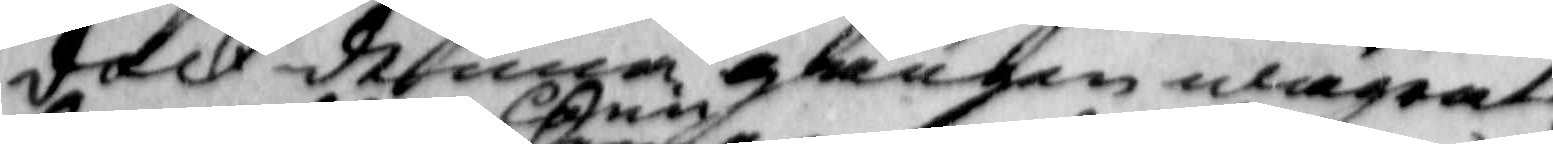doch denna gången wägrat,
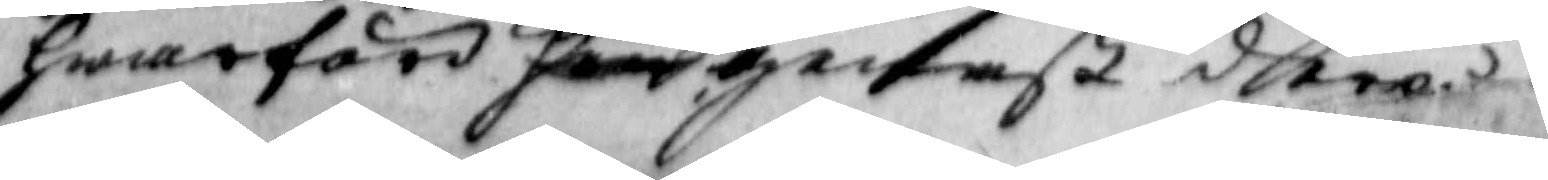hwarföre hon Carin genast dera
